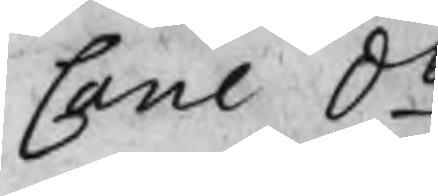Cane do
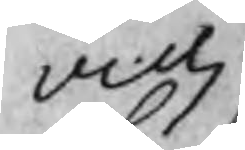vidj
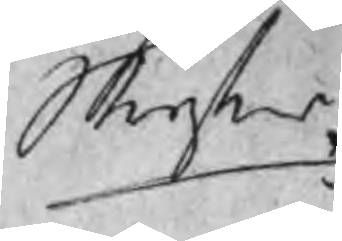Stryks
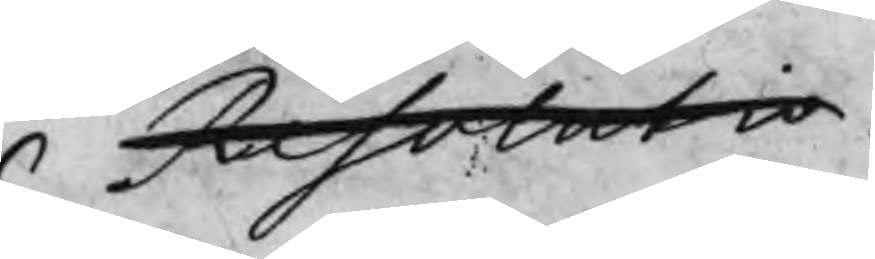Resolutio
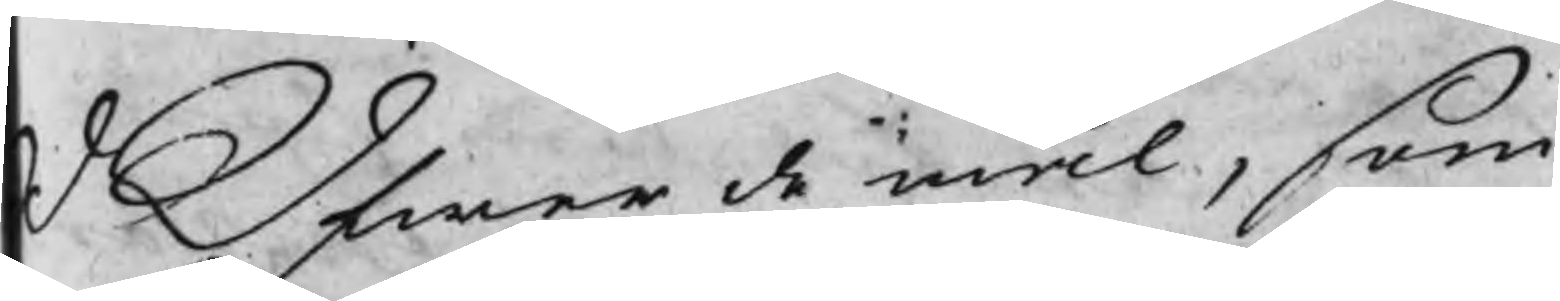d Öfwer de mål, som
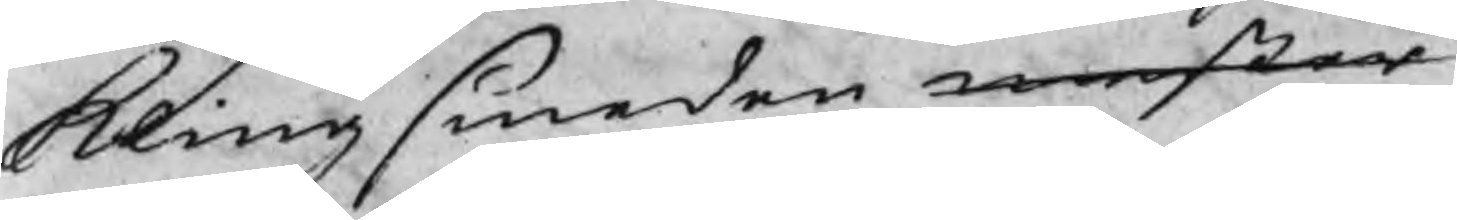klingsmeden mester
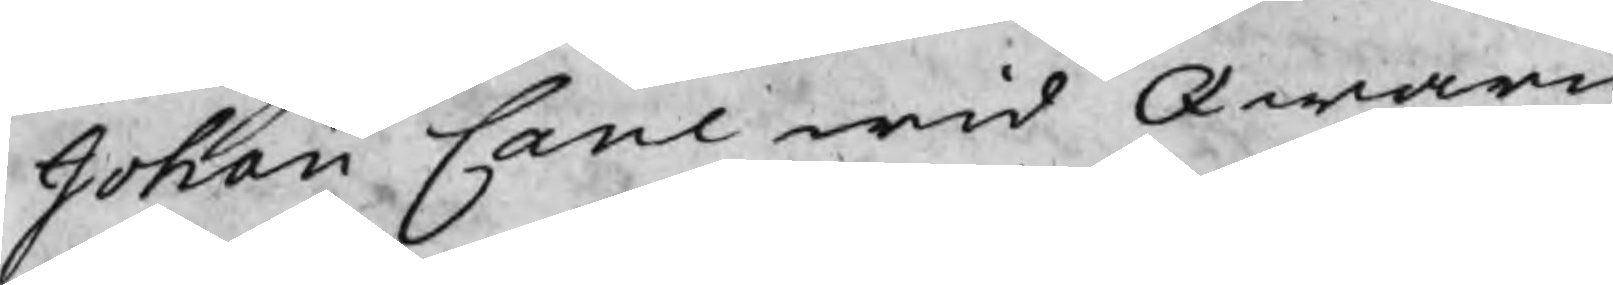Johan Cane wid Qwarn
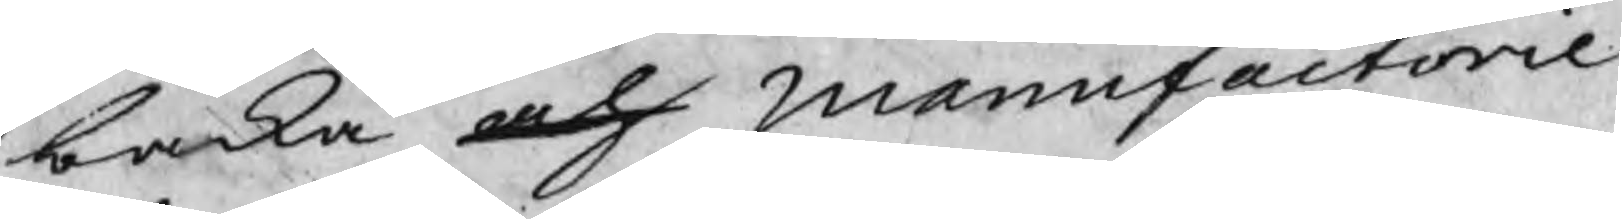backa och manufactorie
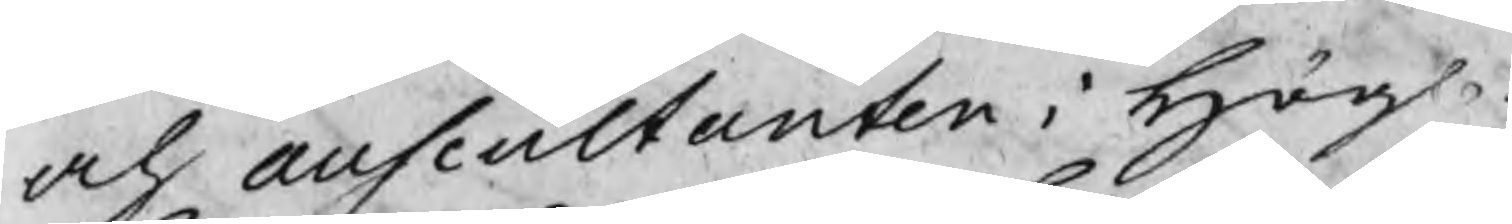och auscultanten i Högl:
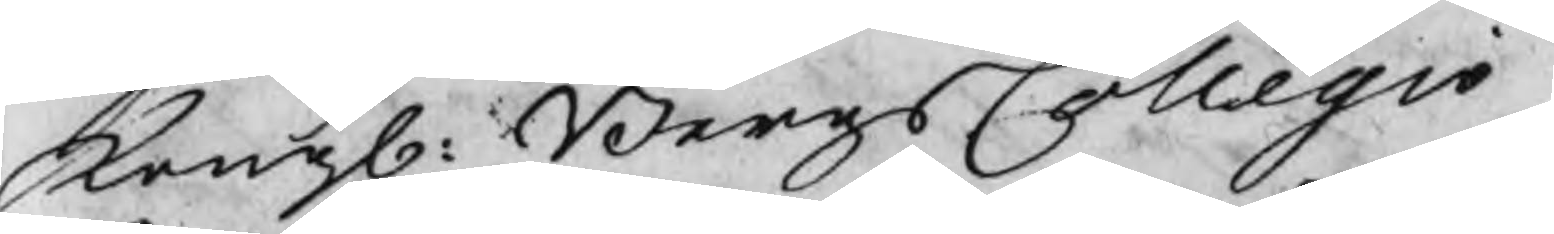Kongl: BergsCollegio
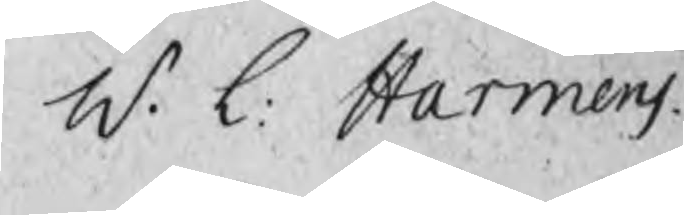W. L. Harmens
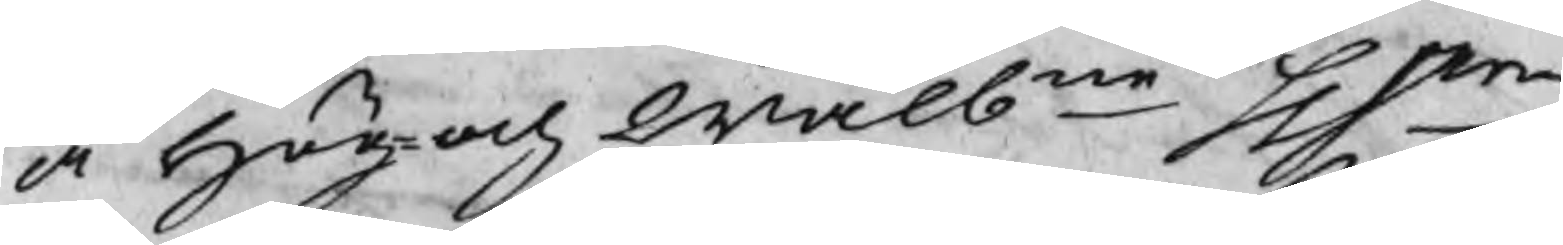å Hög¬och Wälbne Hrr
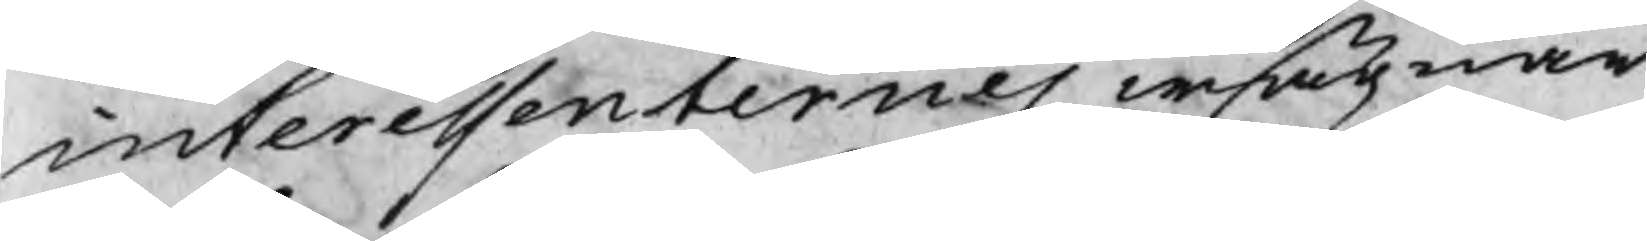interessenternes wägnar
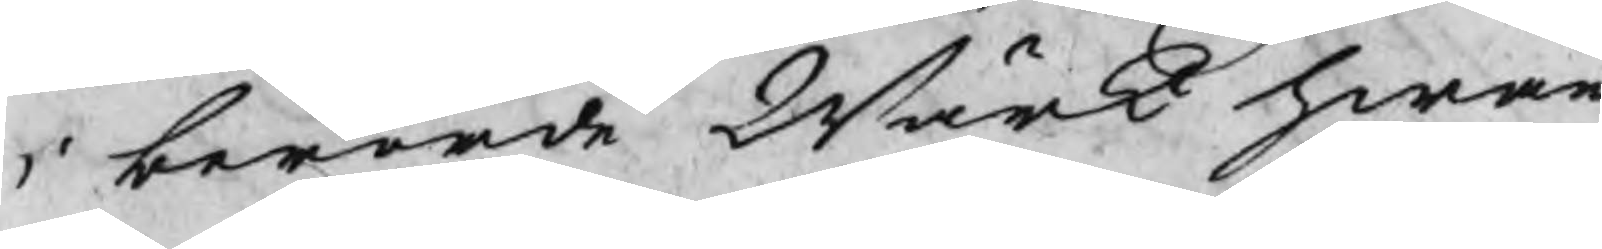i berörde Wärk hwar
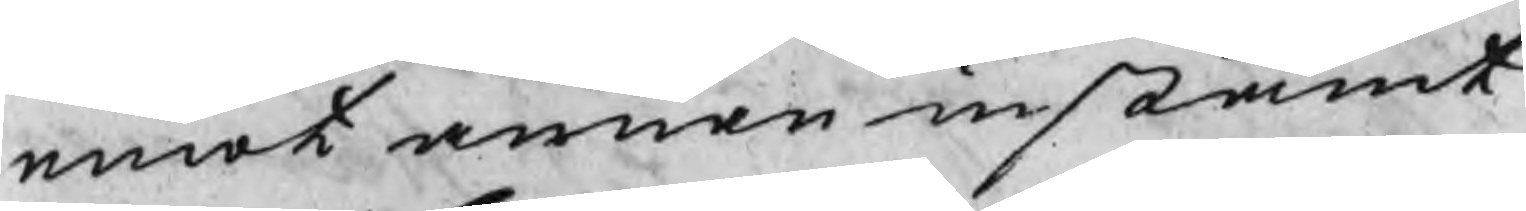emot annan instämt
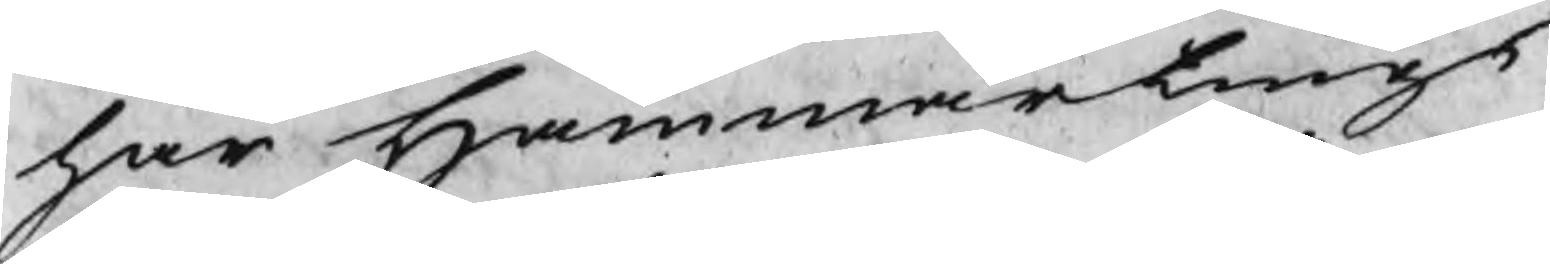har Hammartings
